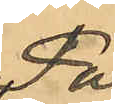På
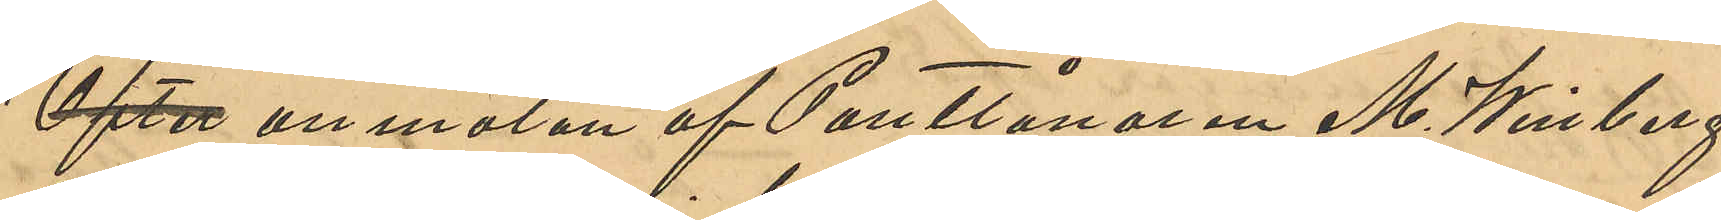Efter anmälan af Pantlånaren M. Winberg,
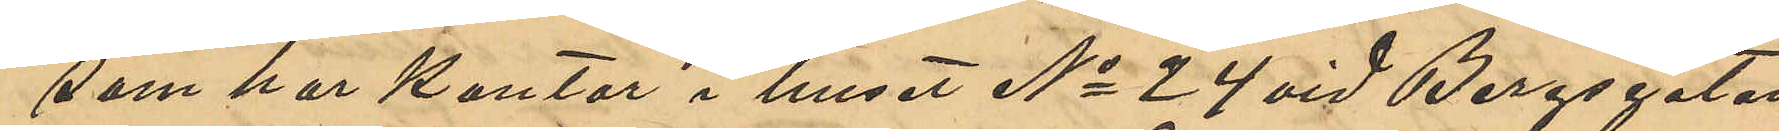som har kontor i huset No 24 vid Bergsgatan,
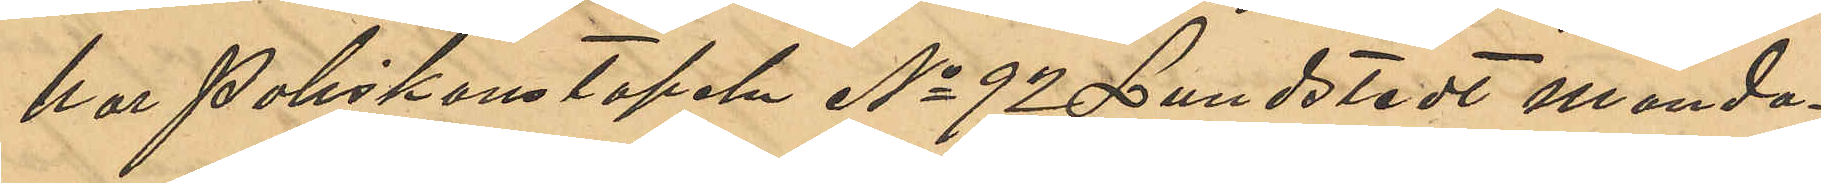har Poliskonstapeln No 92 Lundstedt månda¬
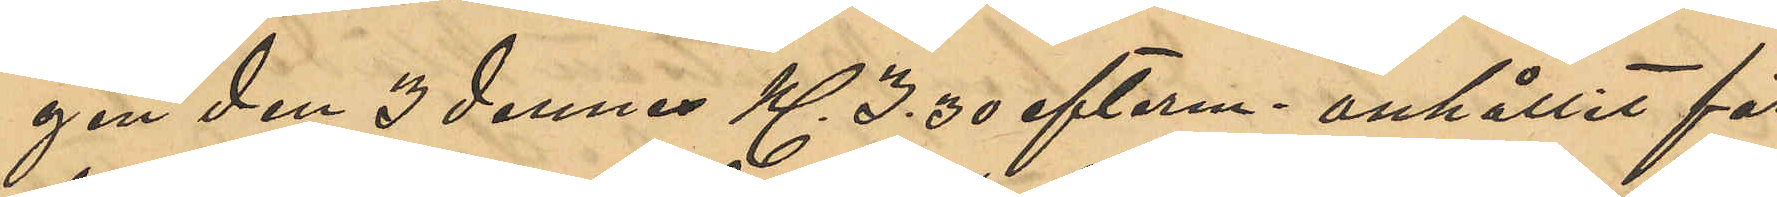gen den 3 dennes Kl 3,30 efterm. anhållit för
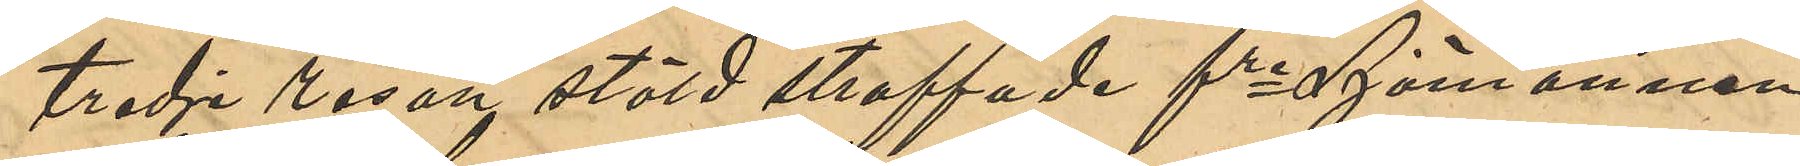tredje resan stöld straffade fre Sjömannen
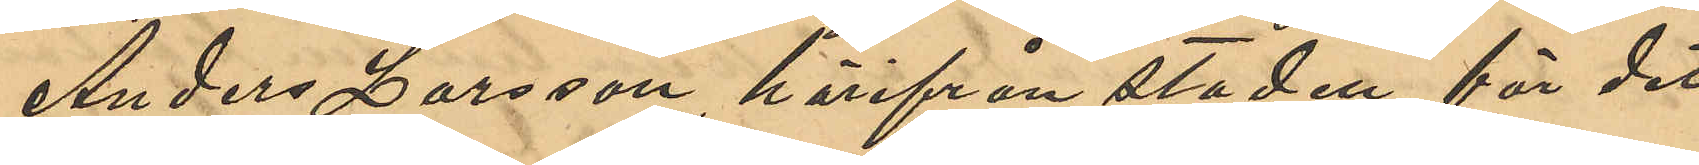Anders Larsson, härifrån staden, för det
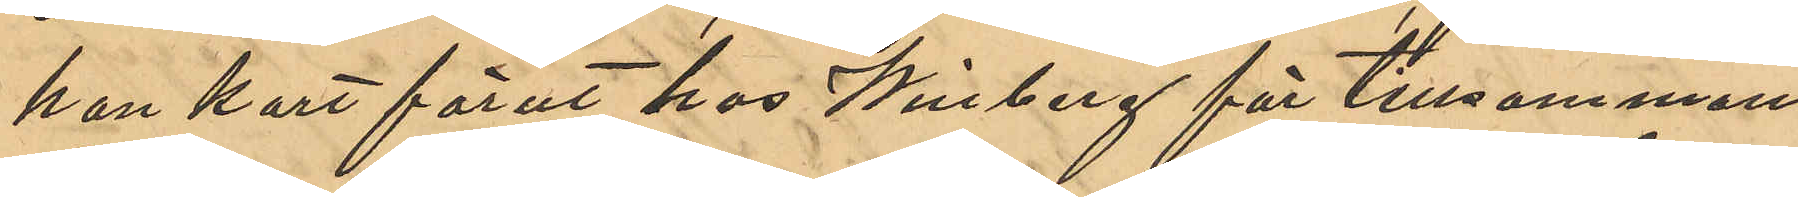han kort förut hos Winberg för tillsammans 
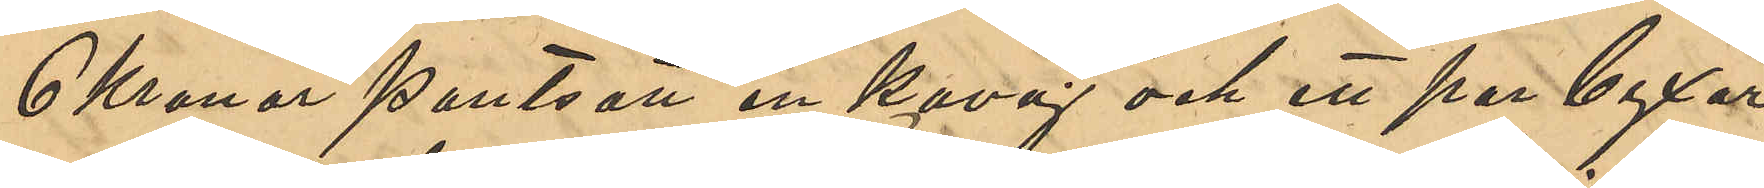6 Kronor pantsatt en kavaj och ett par byxor
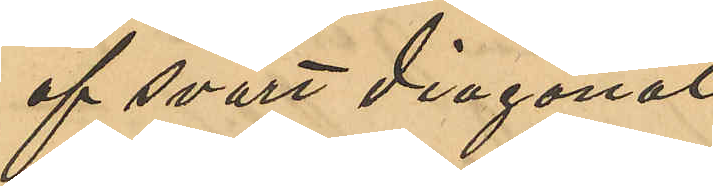af svart diagonal¬
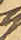tyg
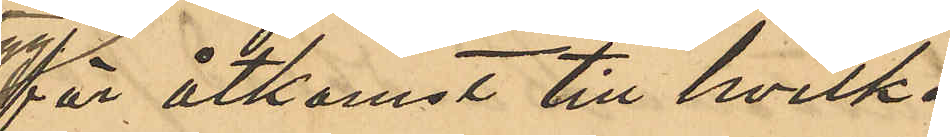för åtkomst till hvilka
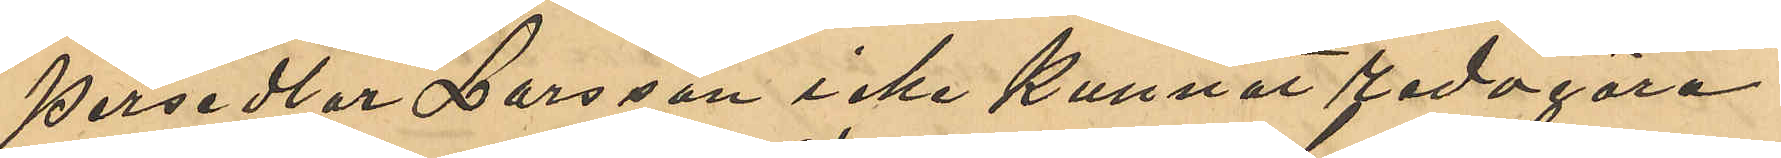persedlar Larsson icke kunnat redogöra.
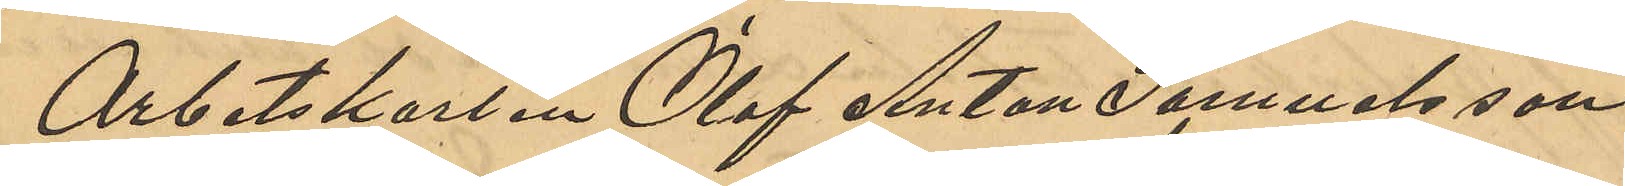Arbetskarlen Olof Anton Samuelsson,
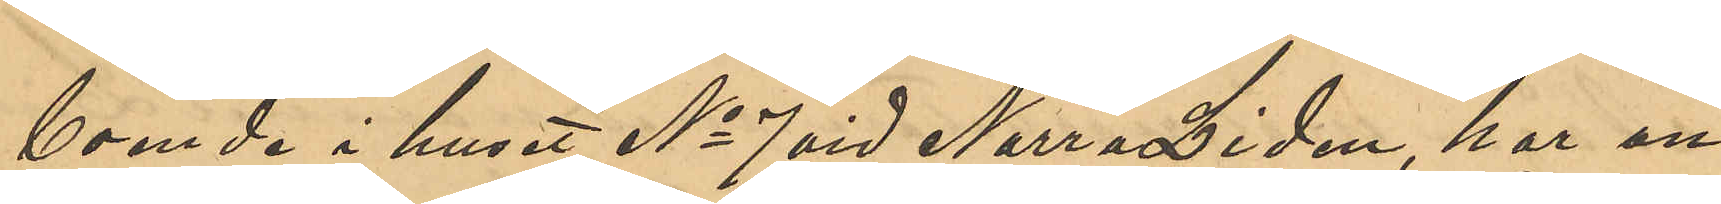boende i huset No 7 vid Norra Liden, har an¬
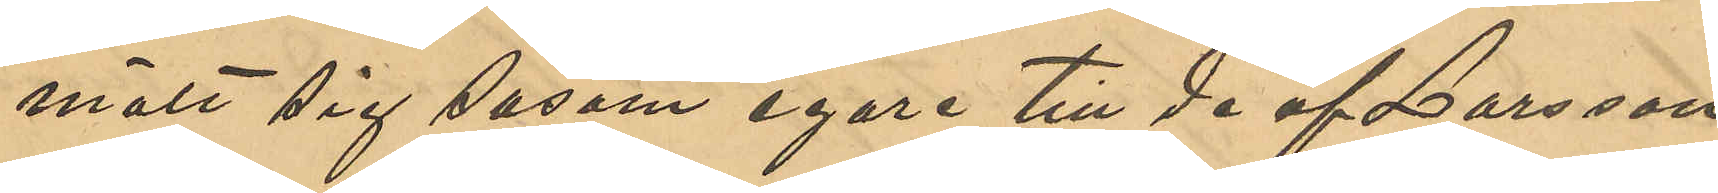mält sig såsom egare till de af Larsson
